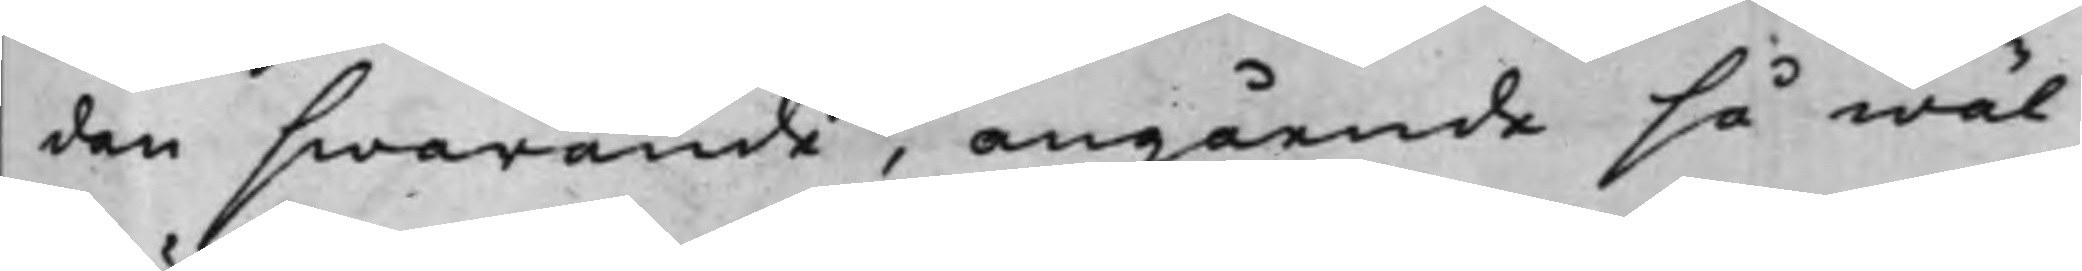dan swarande, angående så wäl
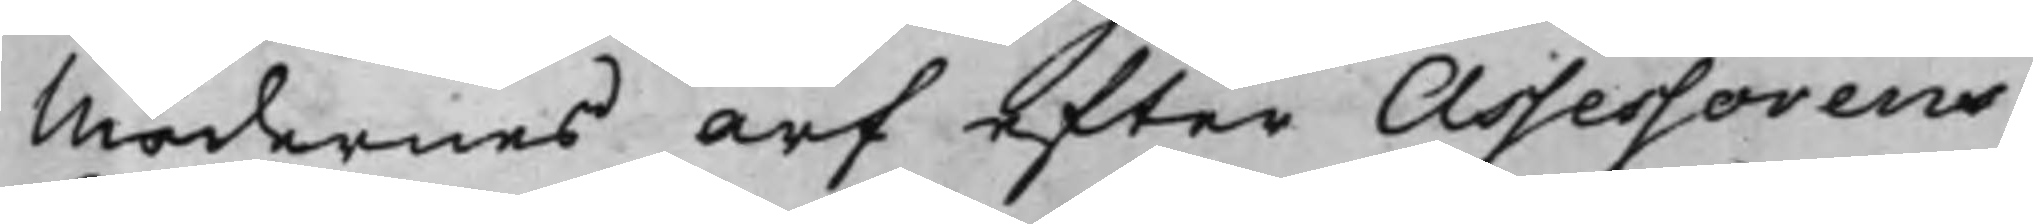Mödernes arf efter Assessorens
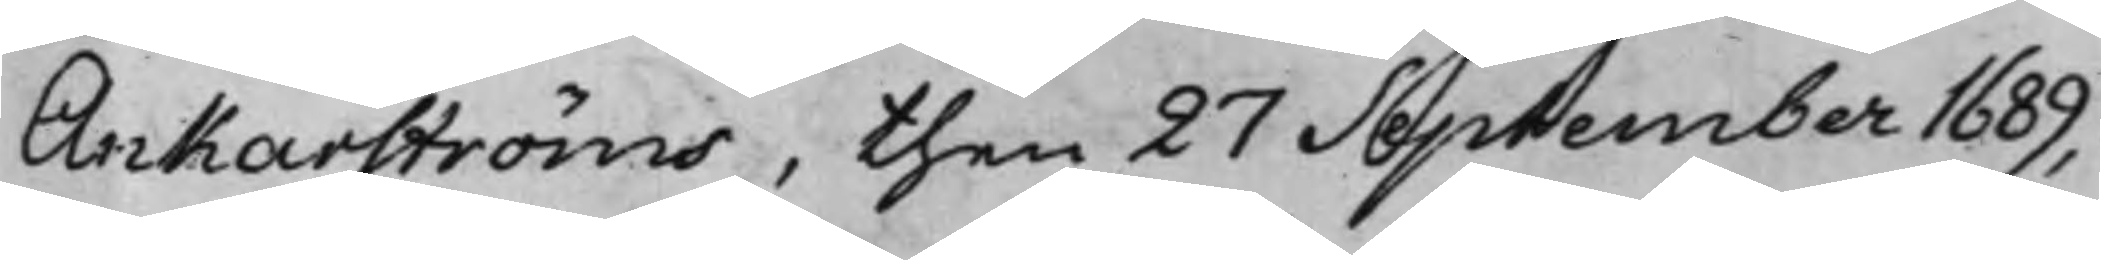Ankarströms, then 27 September 1689,
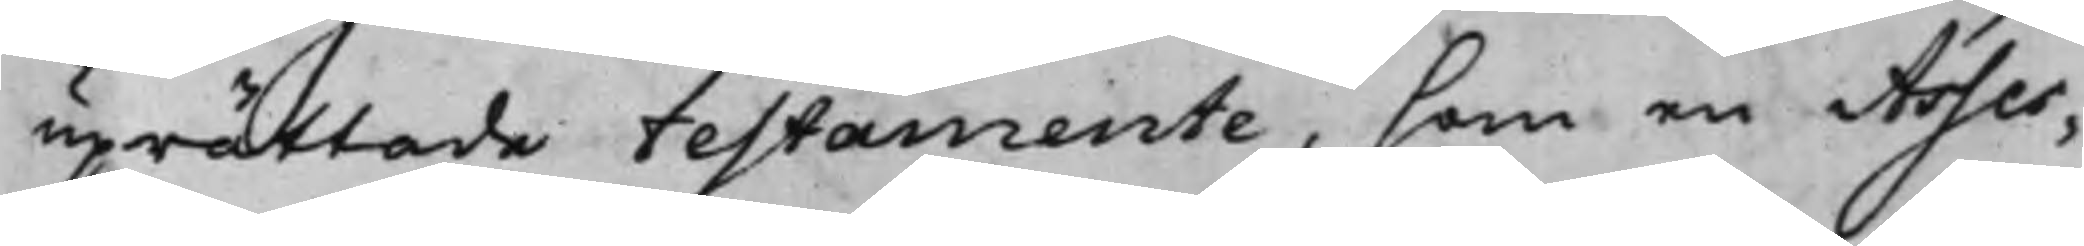uprättade testamente, som en Asses¬
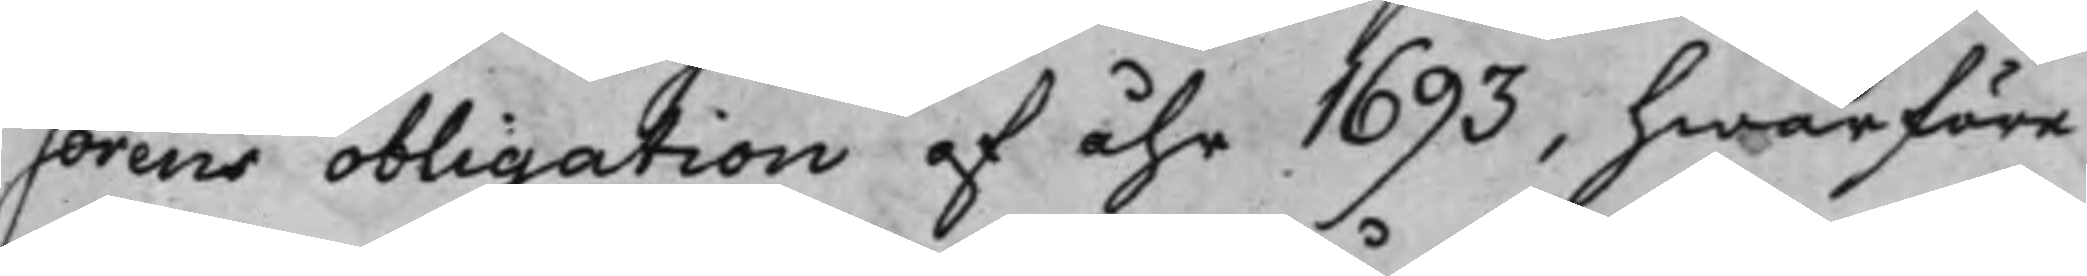sorens obligation af åhr 1693, hwarföre
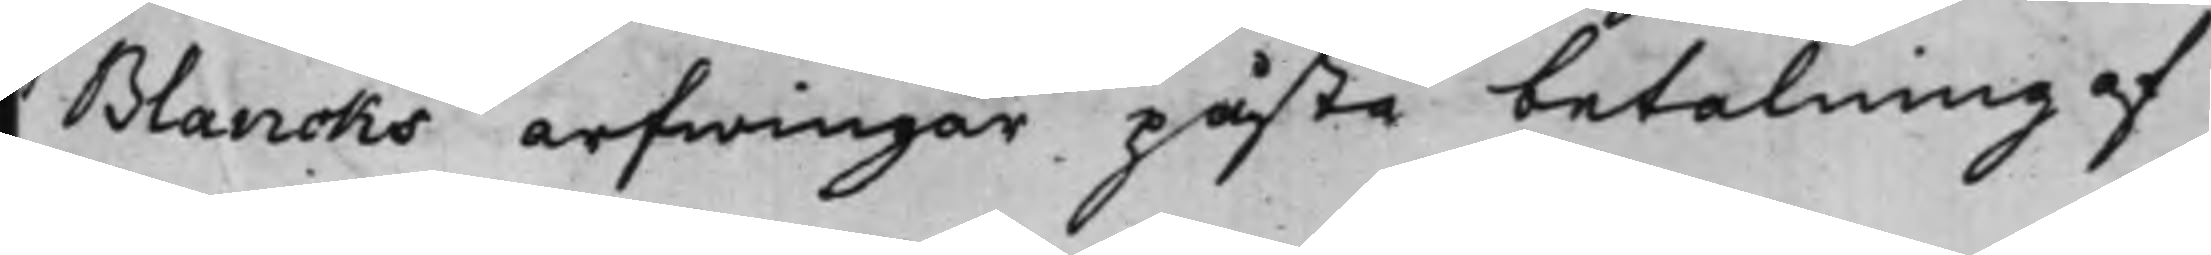Blancks arfwingar påstå betalning af
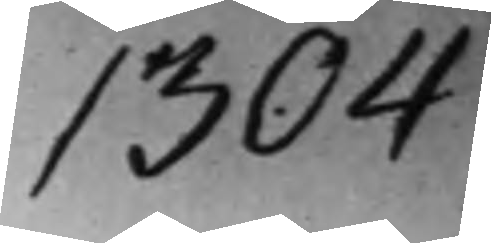1304
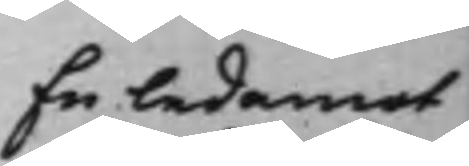En ledamot
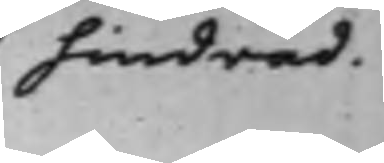hindrad.
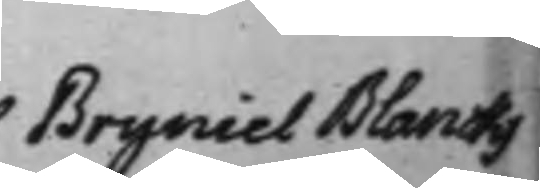Bryniel Blancks
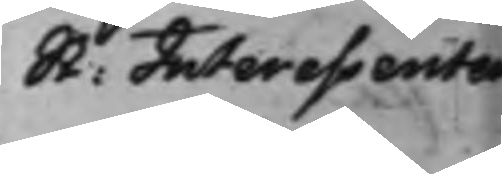St: Interessenter
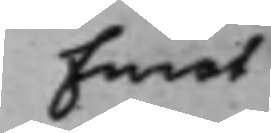Emot
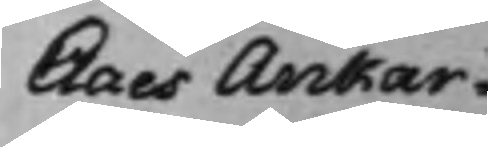Claes Ankar¬
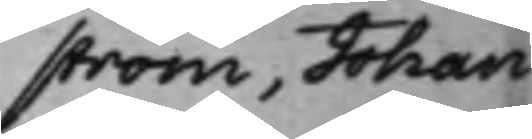ström, Johan
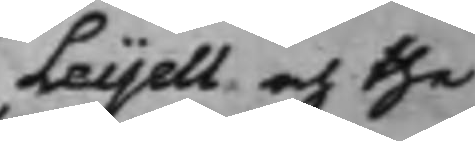Leijell och the
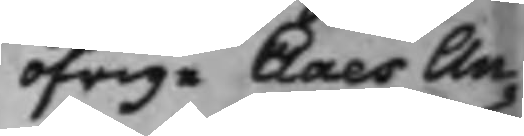öfrige Claes An¬
